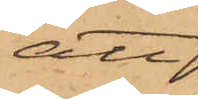att
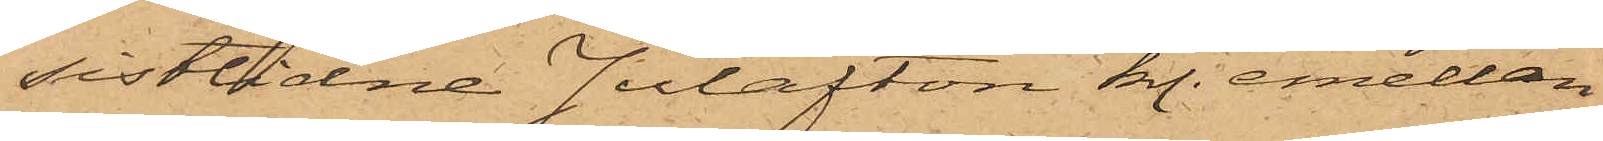sistlidne Julafton kl. emellan
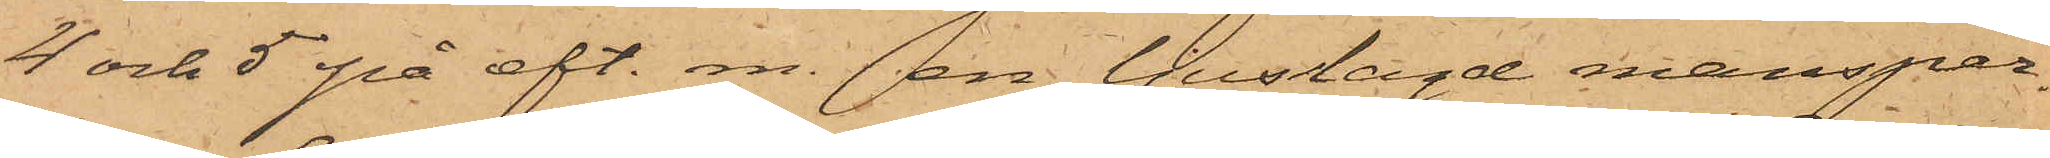4 och 5 på eft. m. en ljuslagd mansper¬
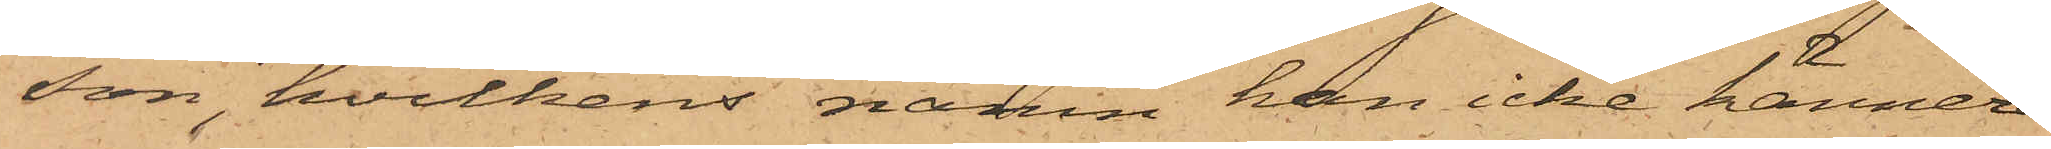son, hvilkens namn han icke känner,
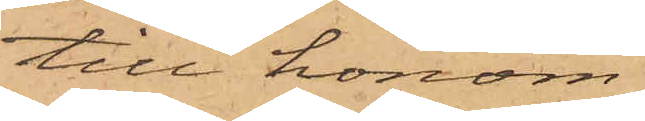till honom
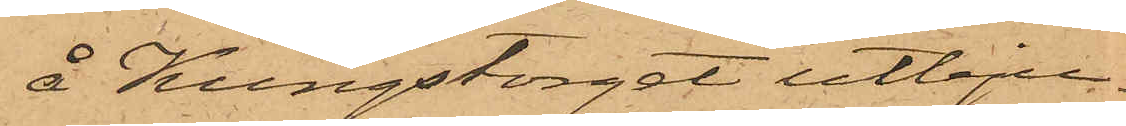å Kungstorget utbju¬
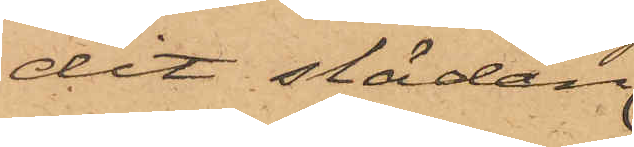dit släden
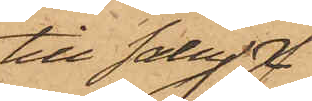till salu
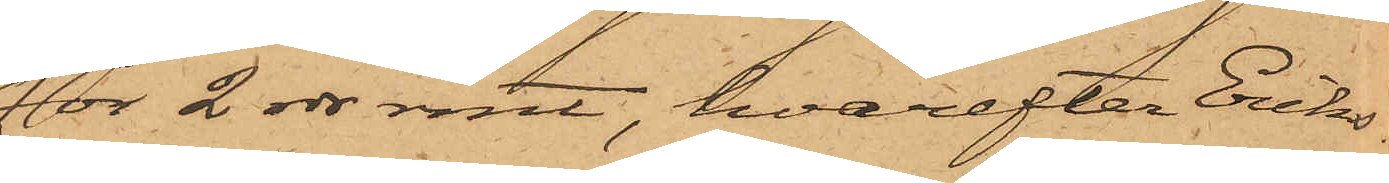för 2 rdr rmt, hvarefter Eriks¬
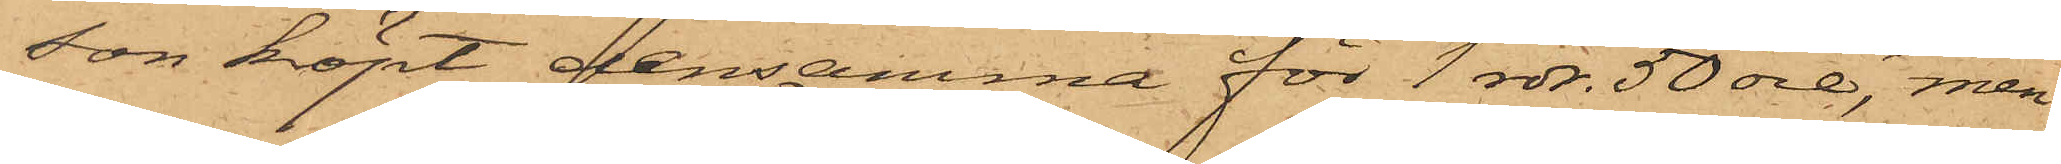son köpt densamma för 1 rdr. 50 öre, men
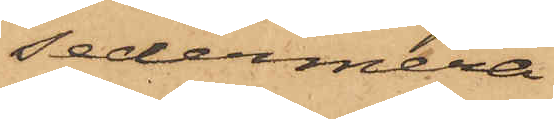sedermera
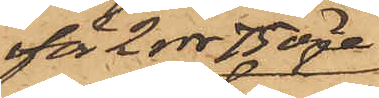för 2 rdr 75 öre
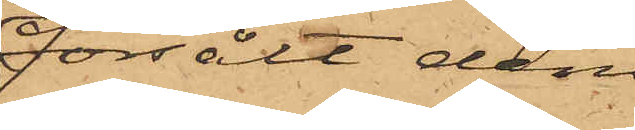försålt den
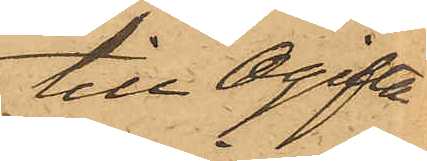till Ogifta
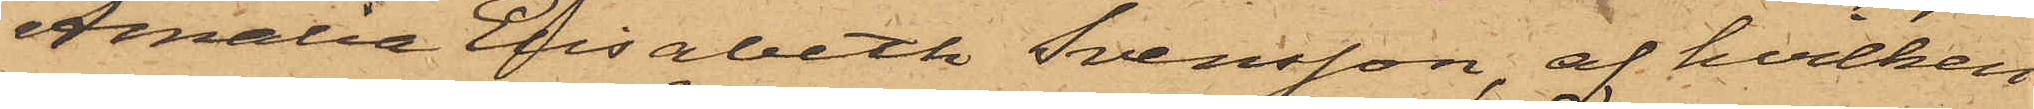Amalia Elisabeth Svensson, af hvilken
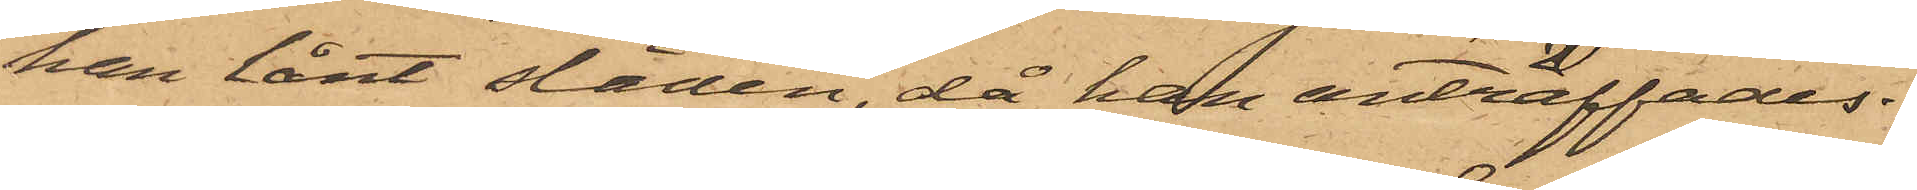han lånt släden, då han anträffades.
